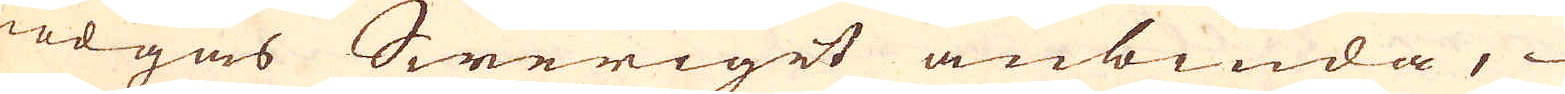nödgas Sweriget anbiuda,
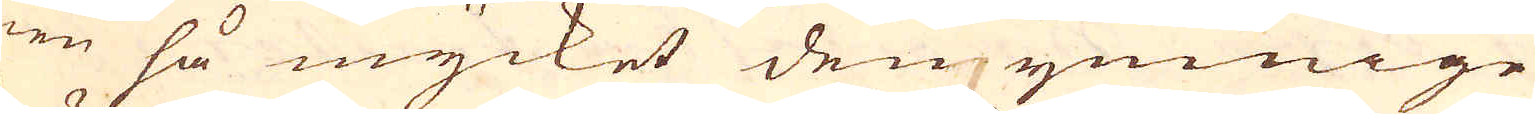men så mycket den ymnige
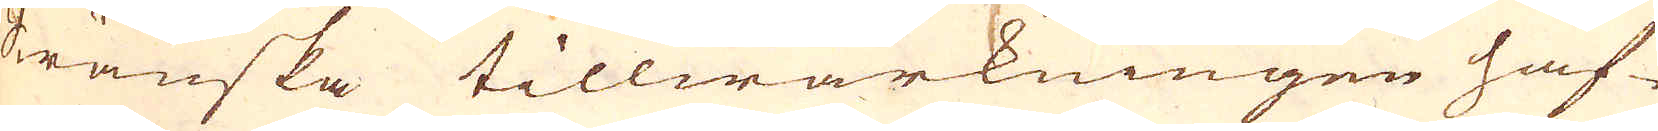Swänska tillwärkningen haf-
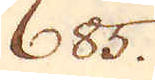685.
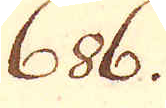686.
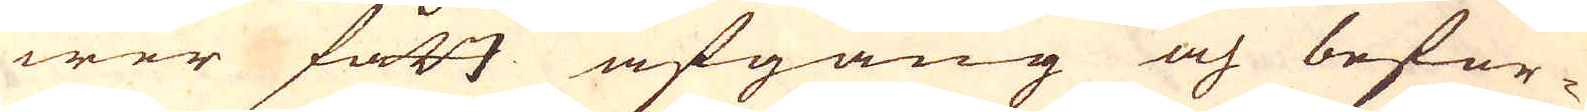wer fått afgång och befor-
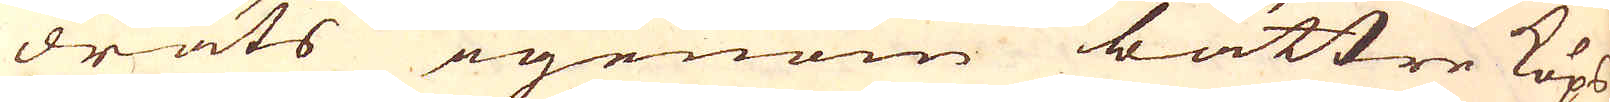drats egenom bättre köps
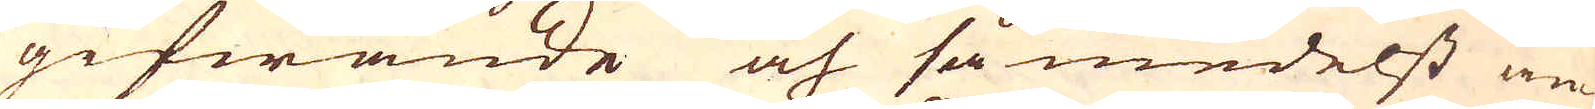gifwande och så medelst an-
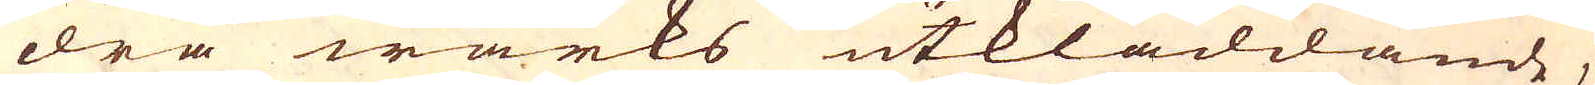dra wärks utkladdande,
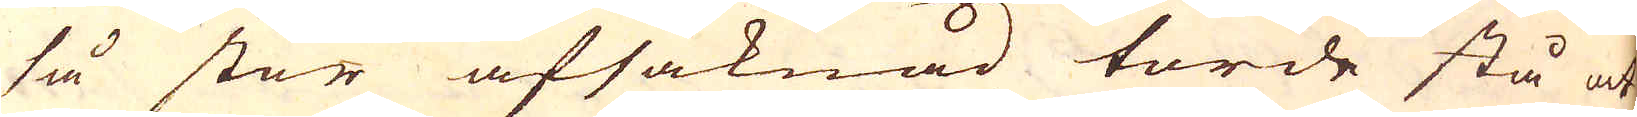så stor afsaknad torde stå at
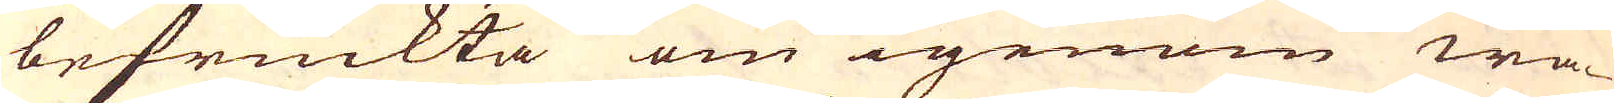befruckta om igenom wa-
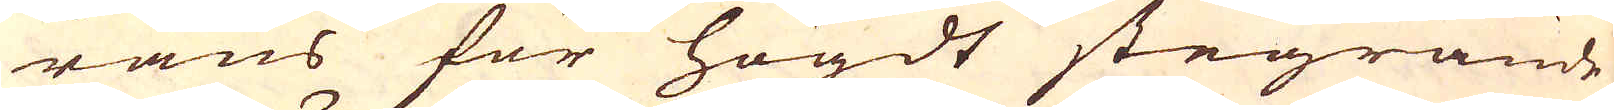rans för högdt stegrande
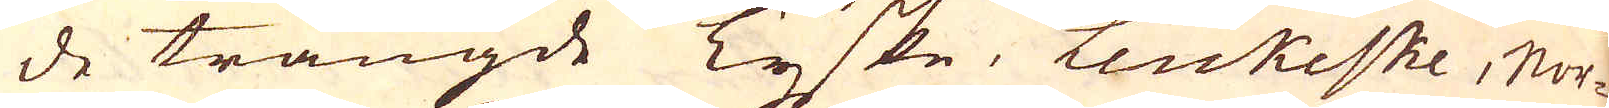de trängde Tyske, Liukeske, Nor-
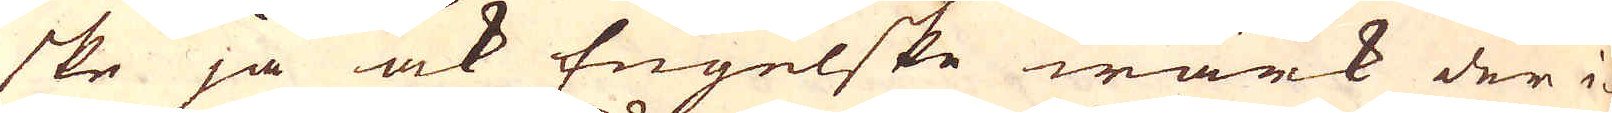ske ja ock Engelske wärk der i-
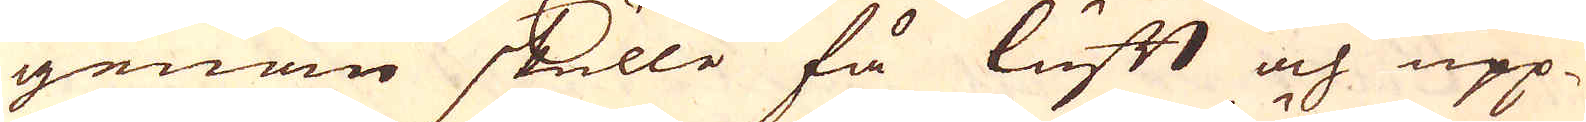genom skulle få luft och upp-
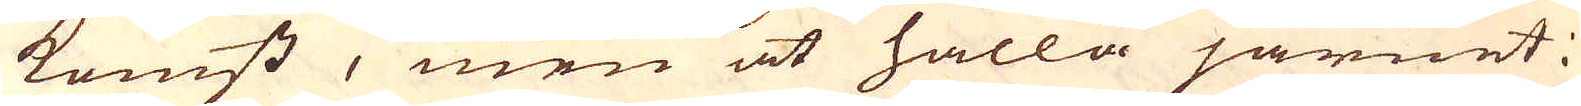komst, men at hålla järnet i
